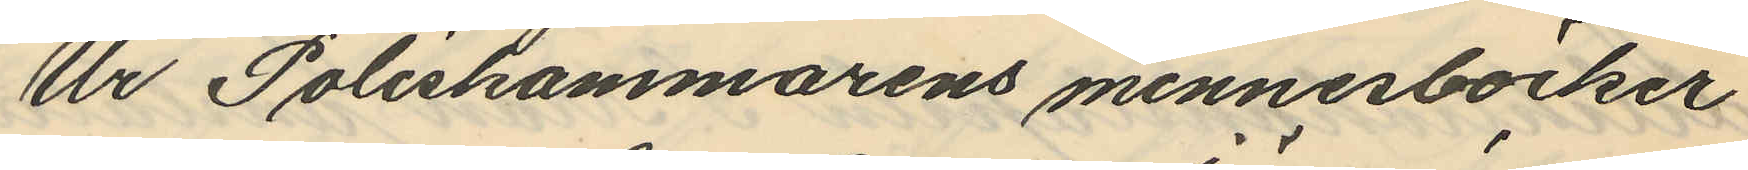Ur Poliskammarens minnesböcker
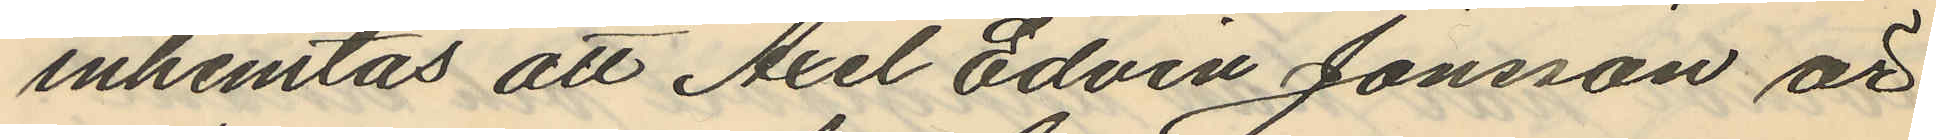inhemtas att Axel Edvin Jönsson är
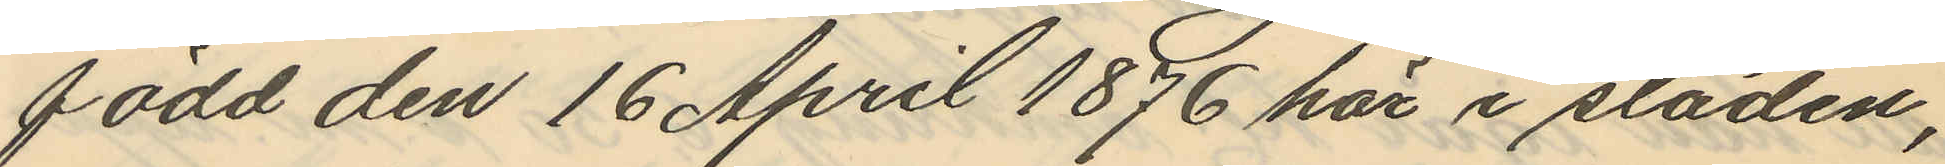född den 16 April 1876 här i staden,
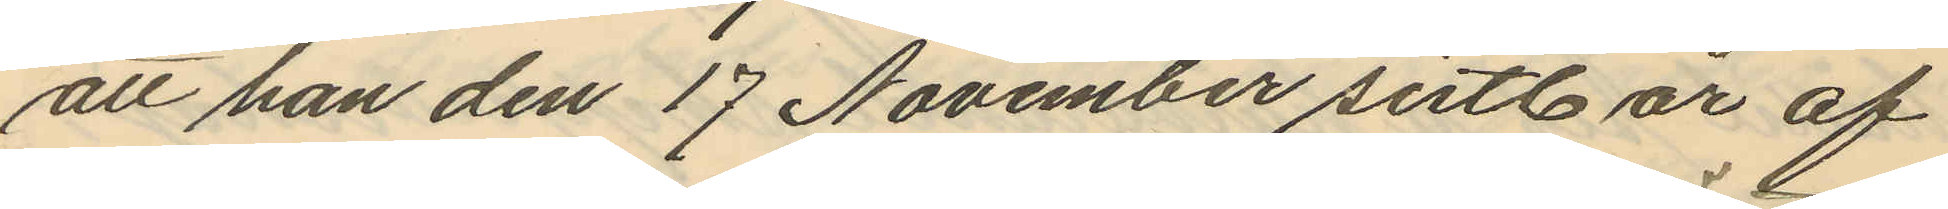att han den 17 November sist. år af
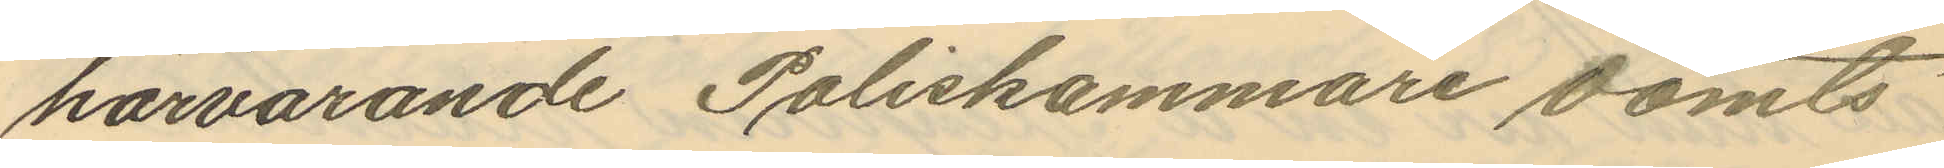härvarande Poliskammare dömts
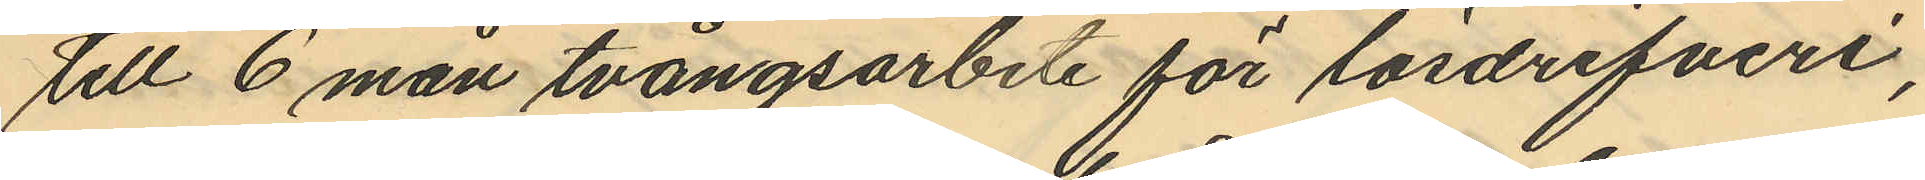till 6 mån tvångsarbete för lösdrifveri,
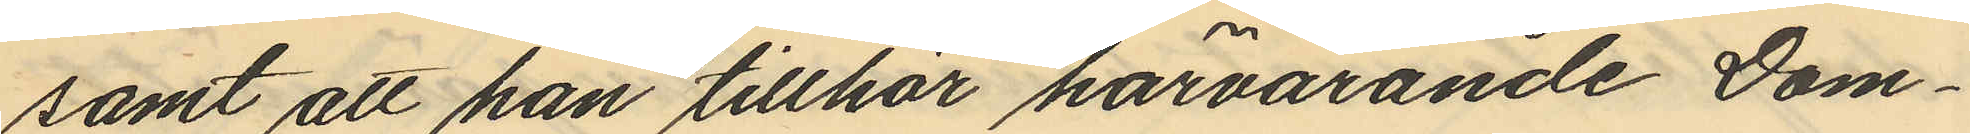samt att han tillhör härvarande Dom¬
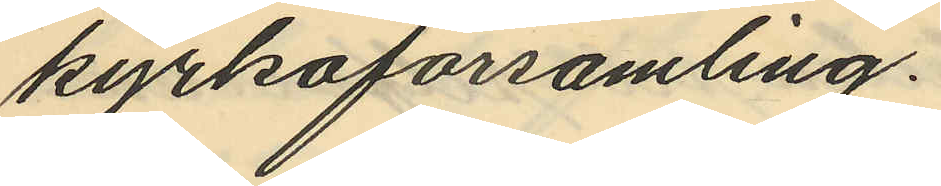kyrkoförsamling.
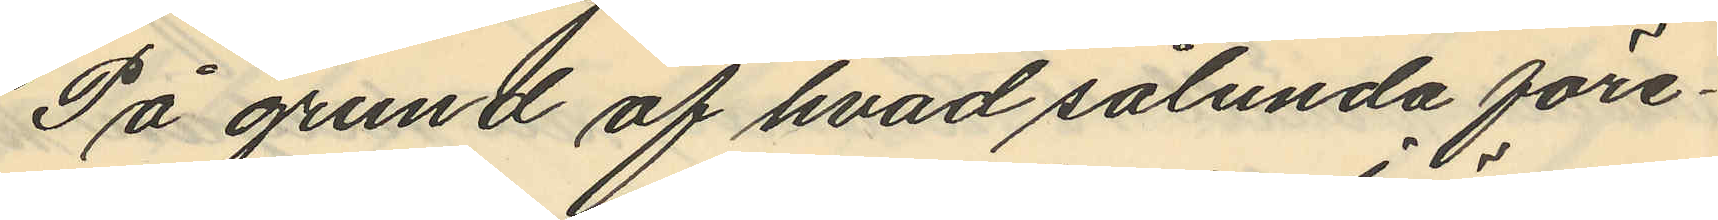På grund af hvad sålunda före¬
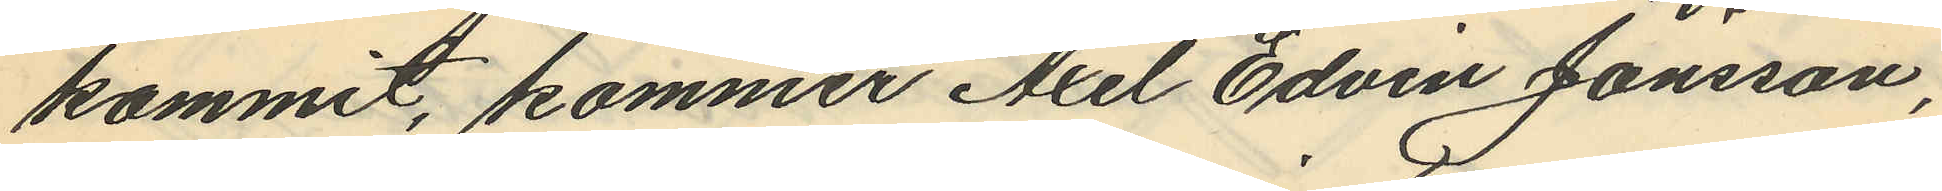kommit, kommer Axel Edvin Jönsson,
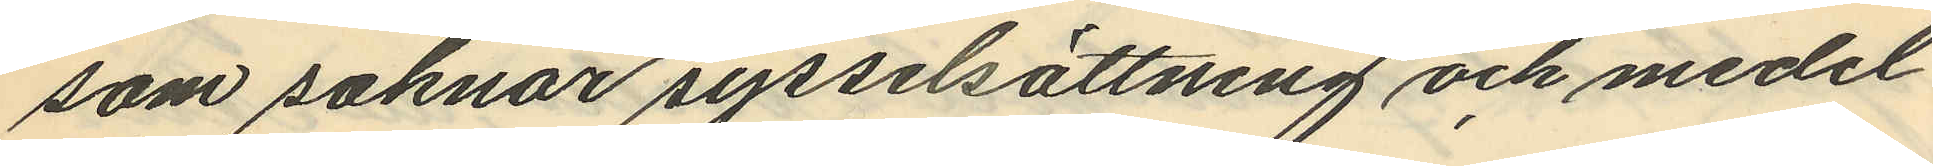som saknar sysselsättning och medel
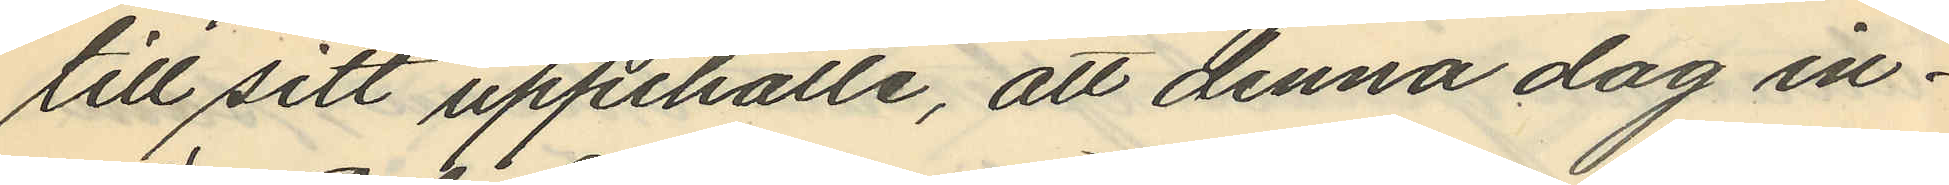till sitt uppehälle, att denna dag in¬
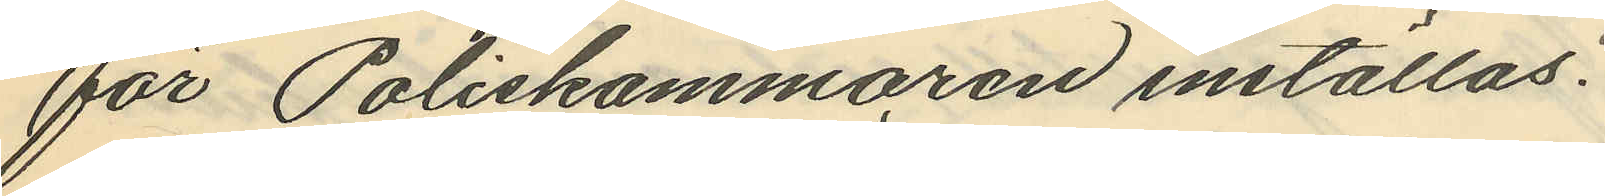för Poliskammaren inställas.
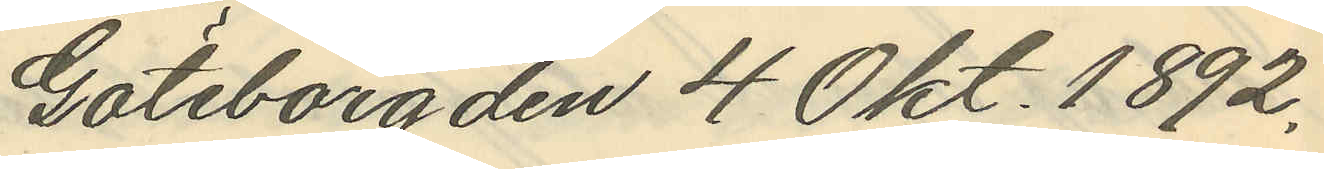Göteborg den 4 Okt. 1892.
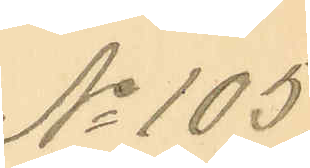No 105.
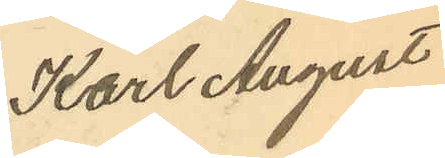Karl August
